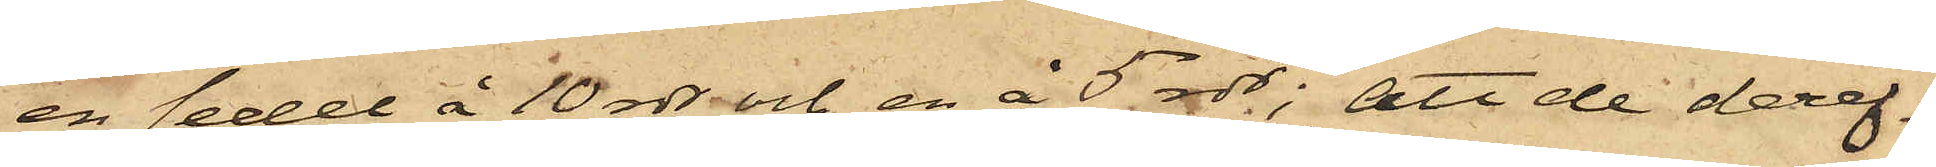en sedel å 10 rdr och en å 5 rdr; att de deref¬
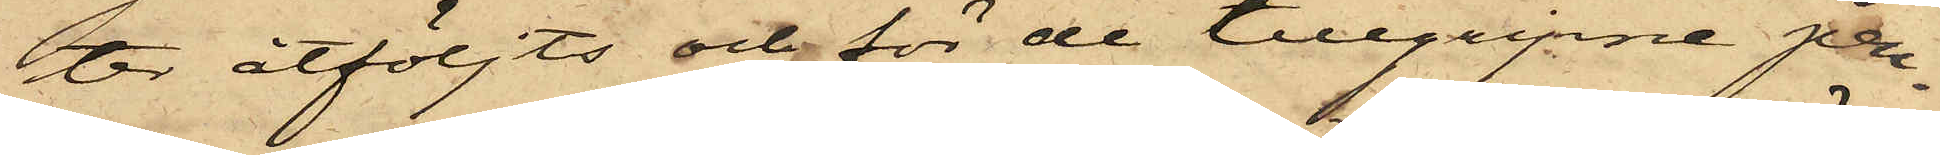ter åtföljts och för de tillgripne pen¬
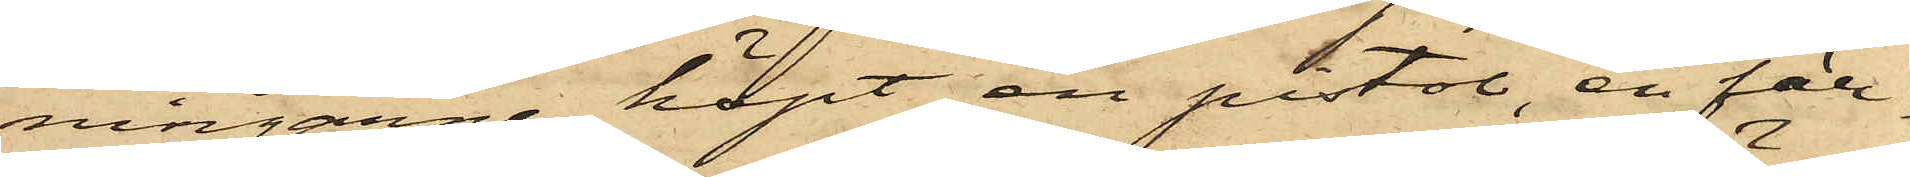ningarne köpt en pistol, en fäll¬
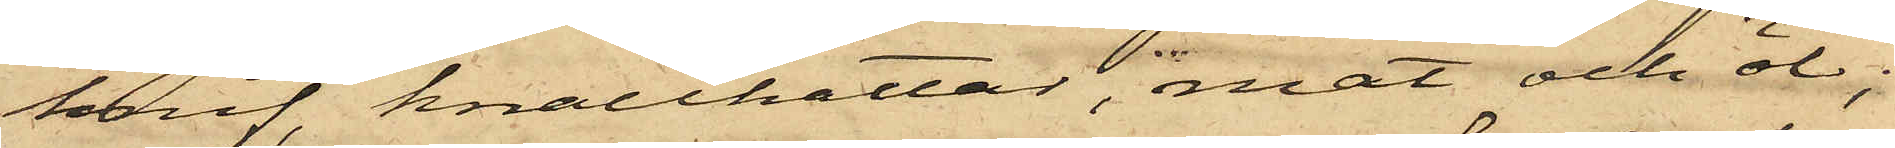knif, knallhattar, mat och öl;
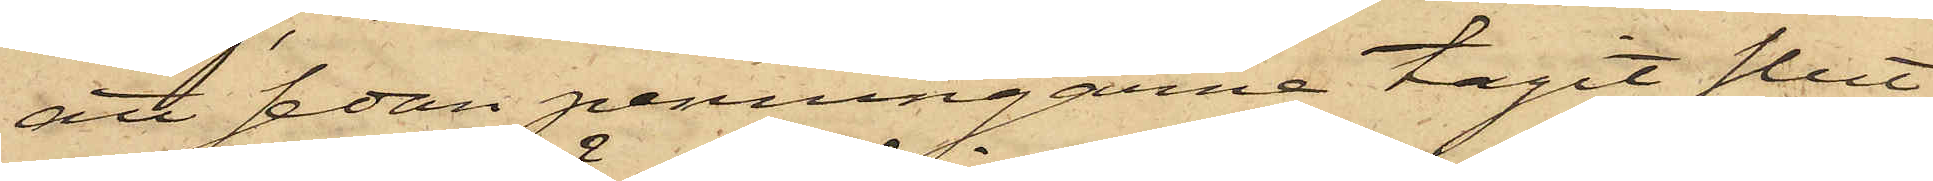att sedan penningarne tagit slut
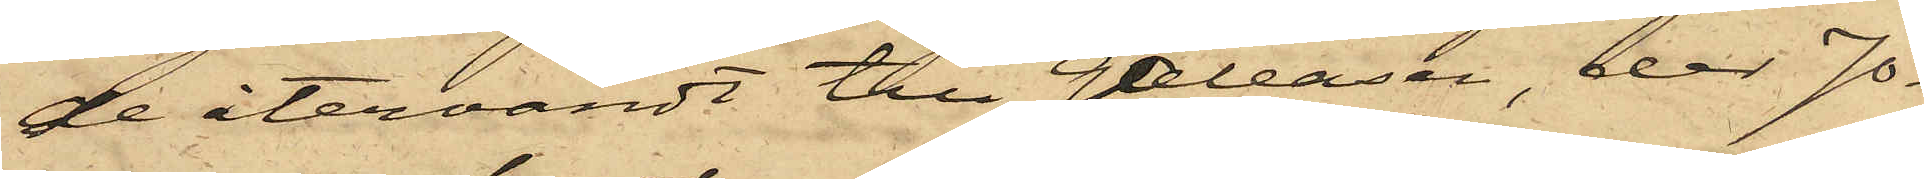de återvändt till Galeasen, der Jo¬
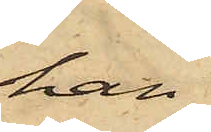han
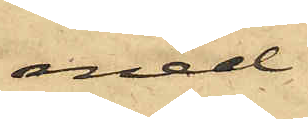med
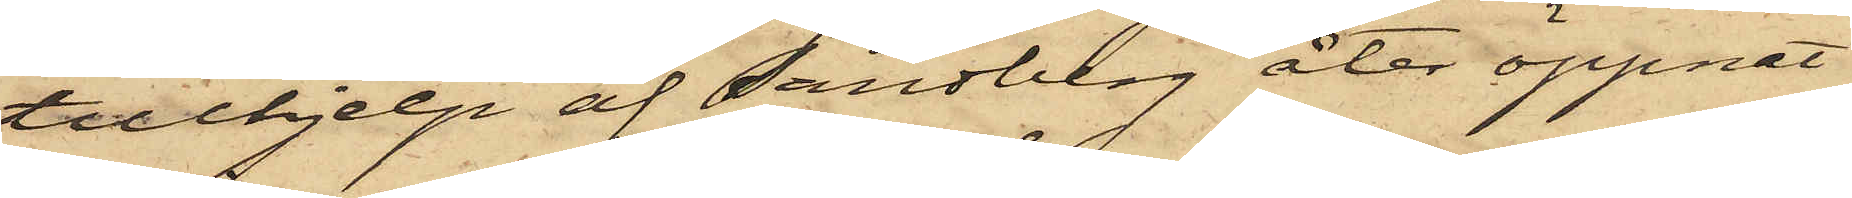tillhjelp af Sandberg åter öppnat
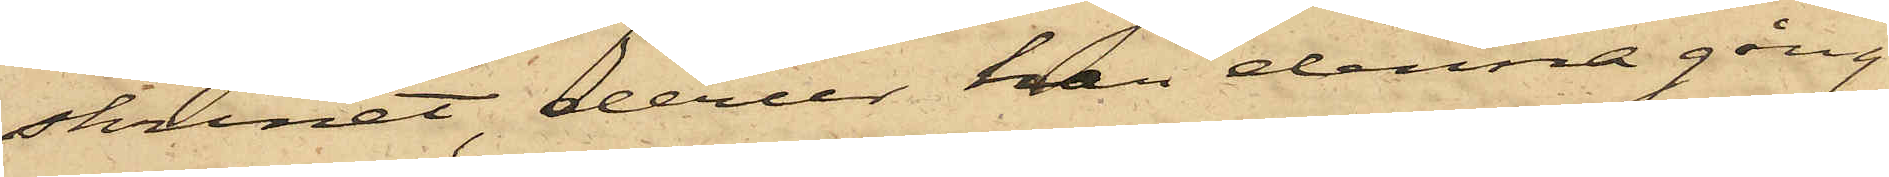skrinet, derur han denna gång
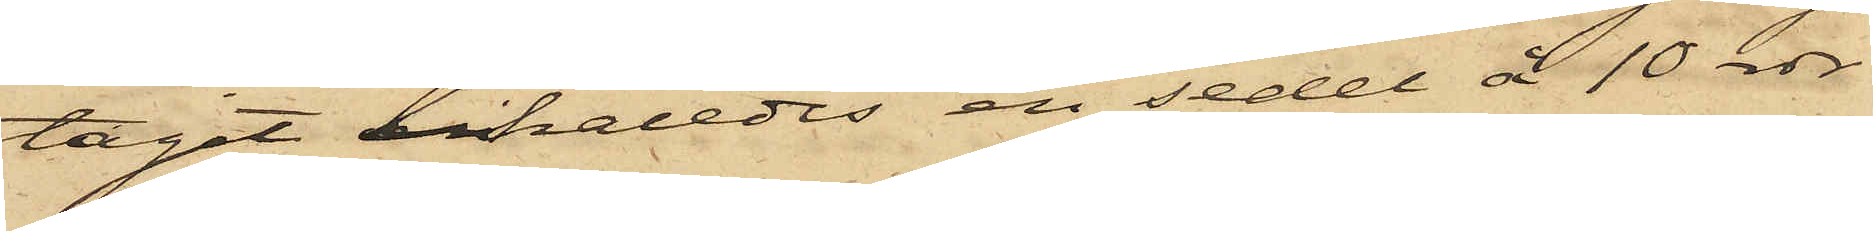tagit likaledes en sedel å 10 rdr
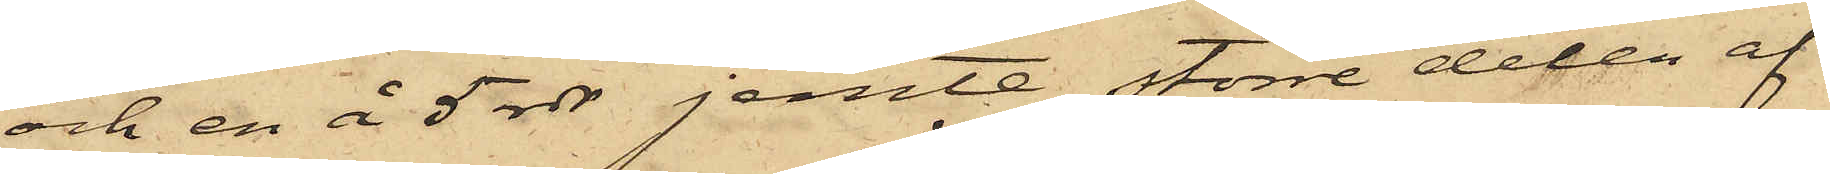och en å 5 rdr jemte större delen af
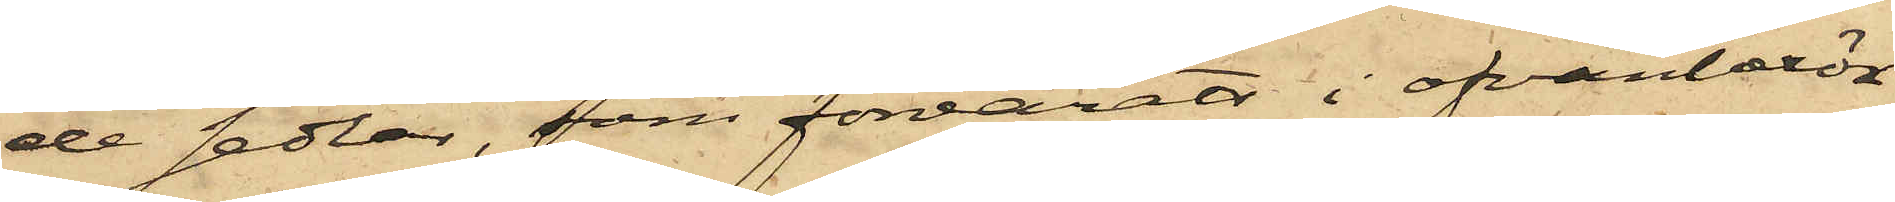de sedlar, som förvarats i ofvanberö¬
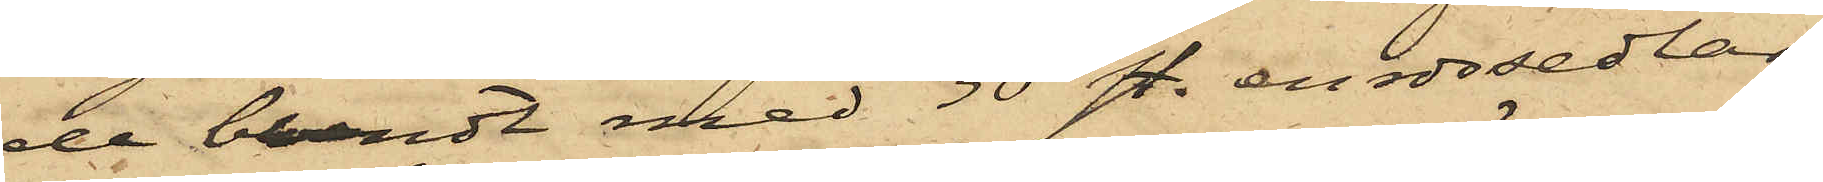de bundt med 30 st. enrdrsedlar,
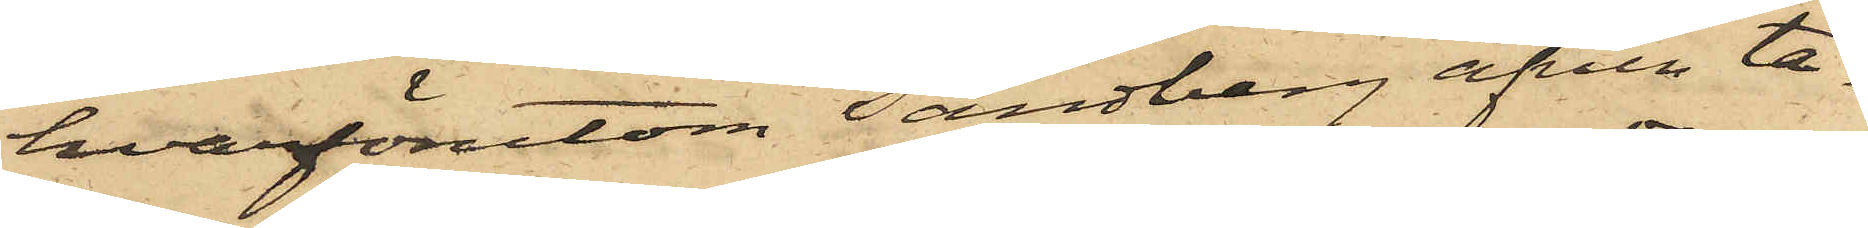hvarförutom Sandberg äfven ta¬
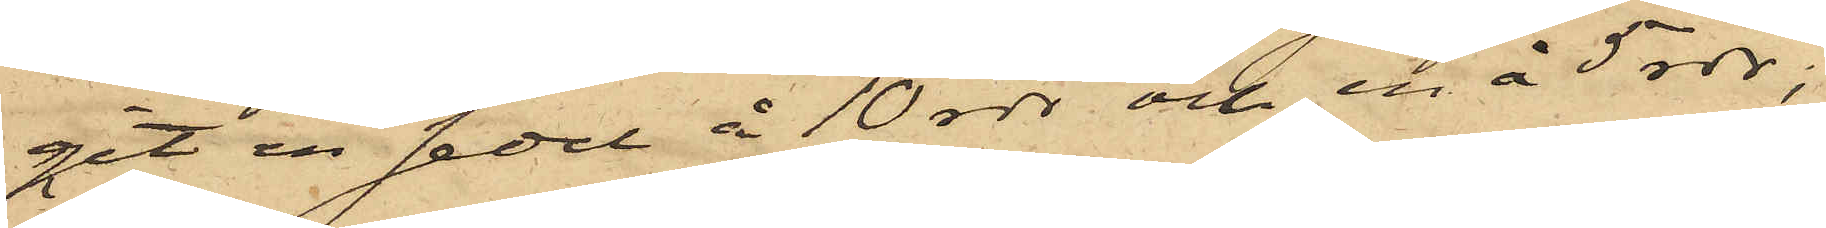git en sedel å 10 rdr och en å 5 rdr;
